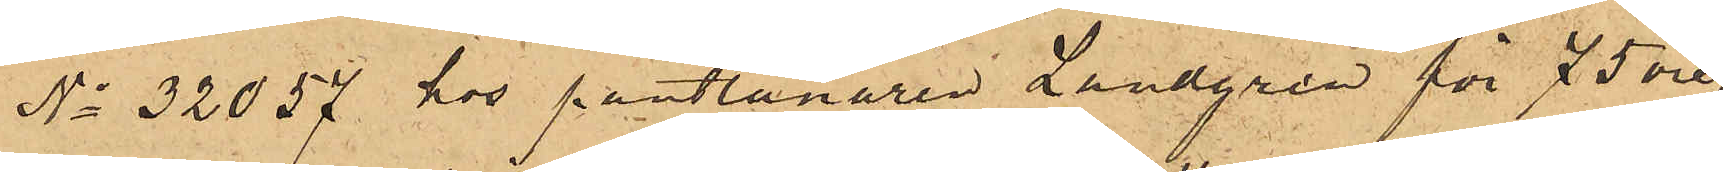No 32057 hos pantlånaren Landgren för 75 öre,
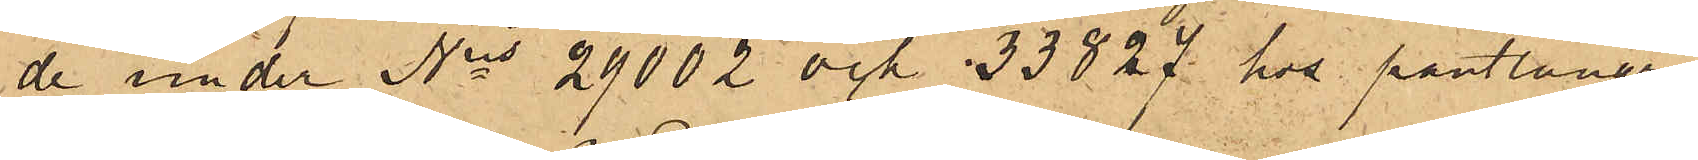de under Nris 29002 och 33827 hos pantlånaren
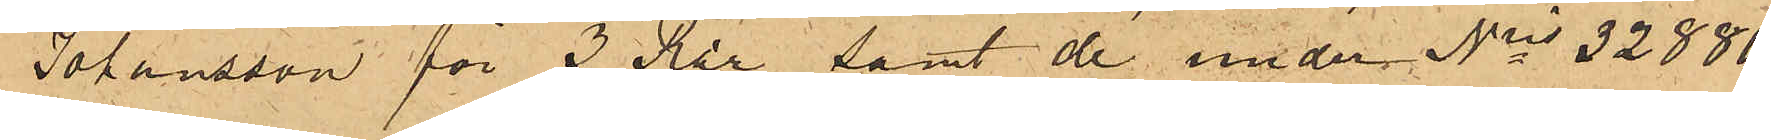Johansson för 3 Rdr samt de under Nris 32880,
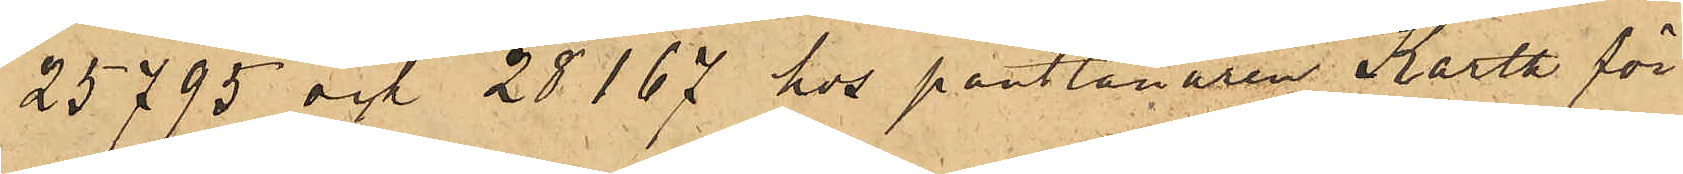25795 och 28167 hos pantlånaren Karth för
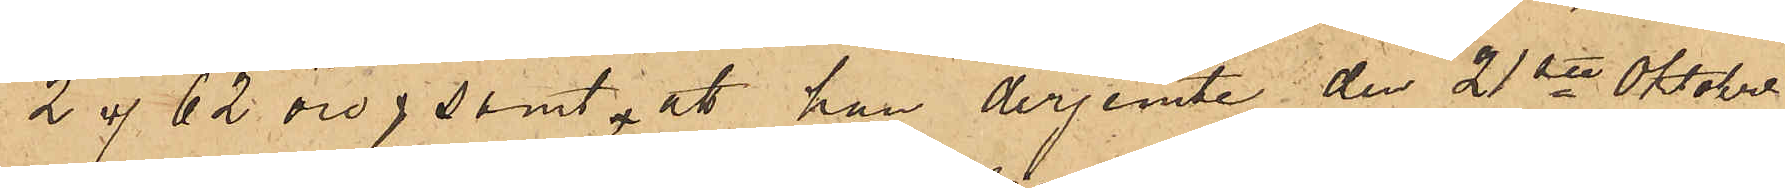2 rdr 62 öre; samt att han derjemte den 21ste Oktober
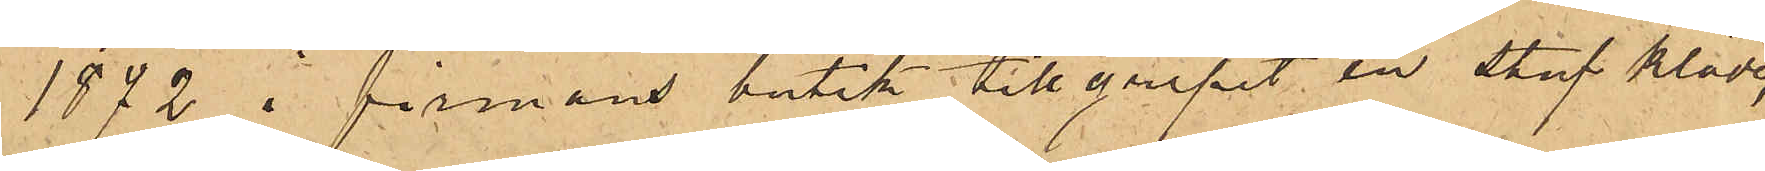1872 i firmans butik tillgripit en stuf kläde,
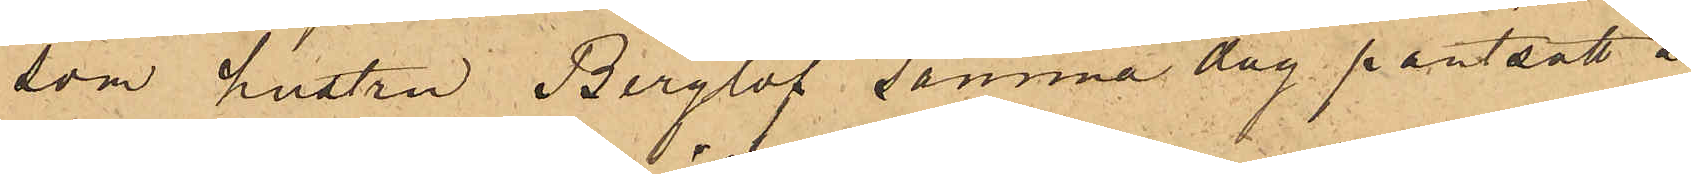som hustru Berglöf samma dag pantsatt å
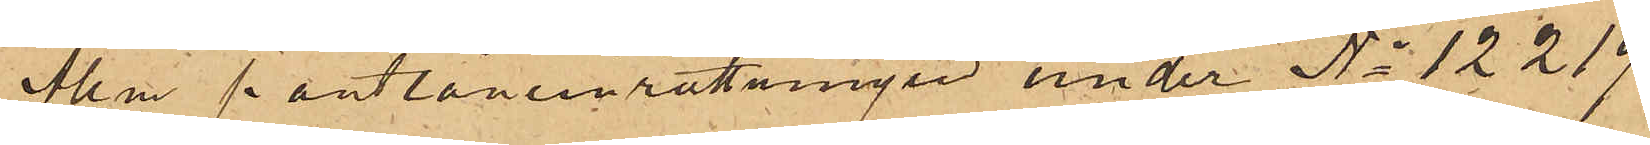Allm pantlåneinrättningen under No 12219
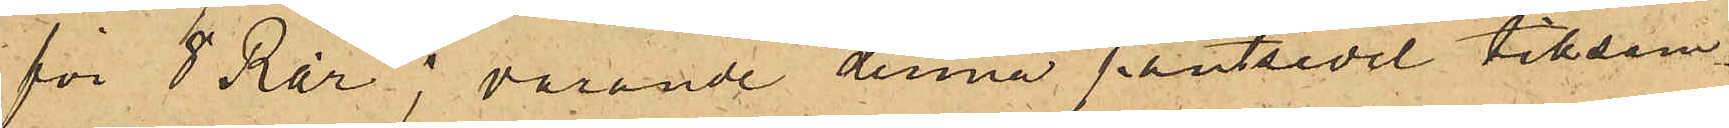för 8 Rdr; varande denna pantsedel tillsam¬
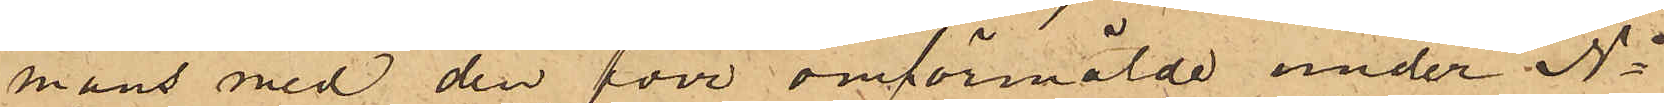mans med den förr omförmälde under No
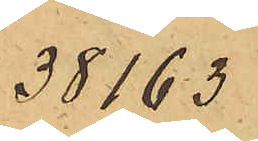38163
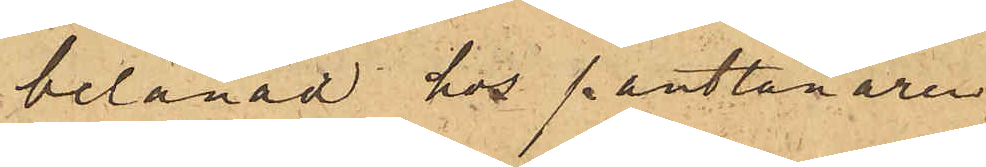belånad hos pantlånaren
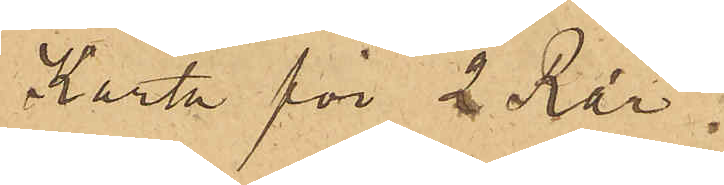Karth för 2 Rdr.
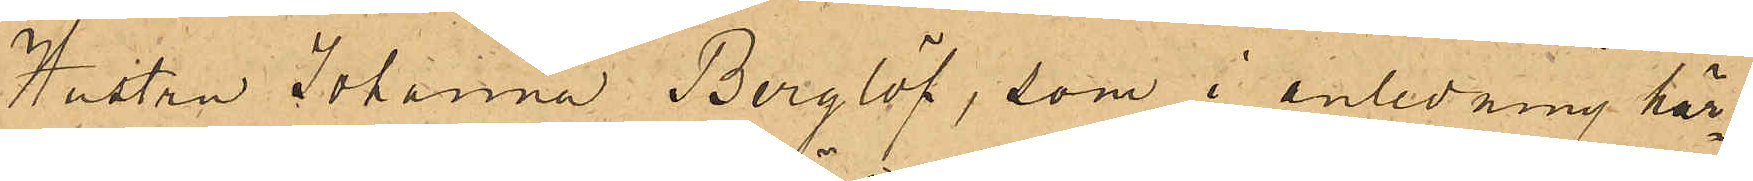Hustru Johanna Berglöf, som i anledning här¬
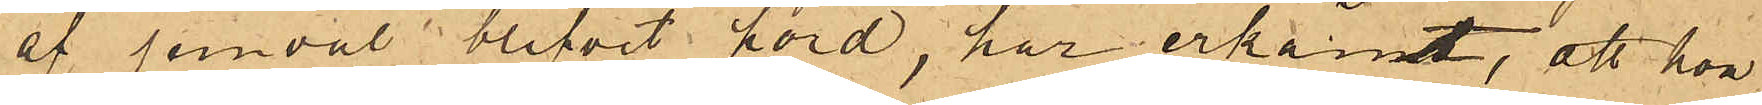af jemväl blifvit hörd, har erkänt, att hon
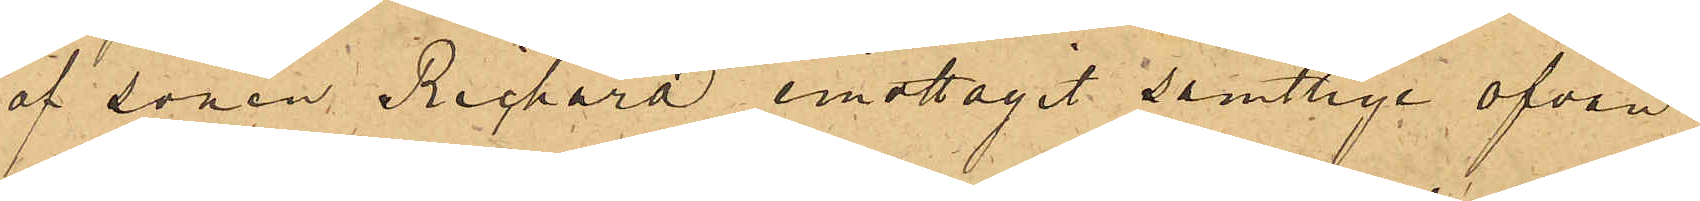af sonen Richard emottagit samtlige ofvan
